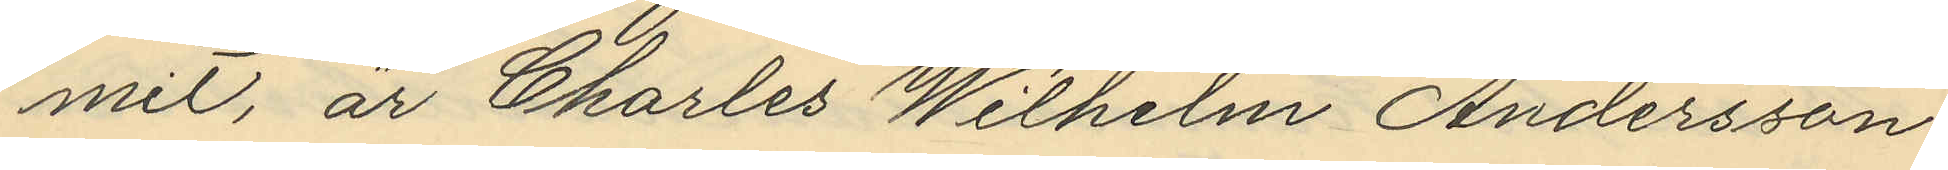mit, är Charles Wilhelm Andersson
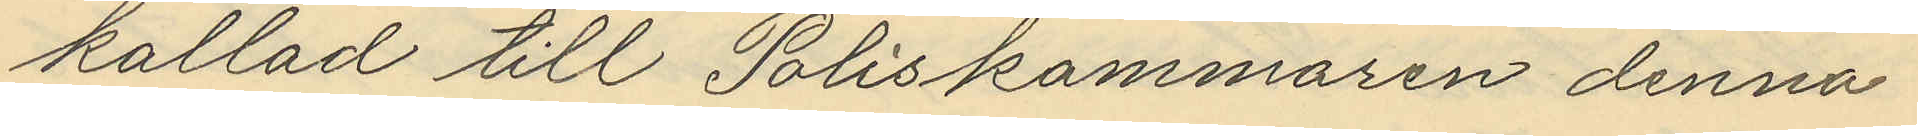kallad till Poliskammaren denna
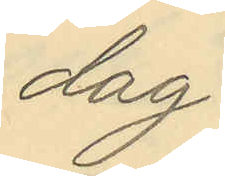dag
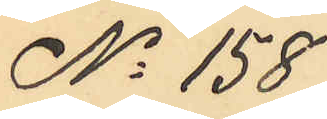No 158
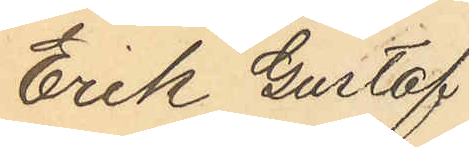Erik Gustaf
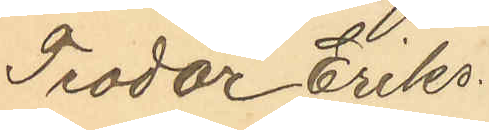Teodor Eriks¬
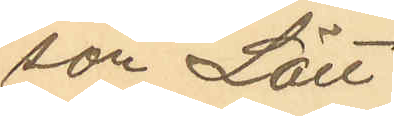son Lätt
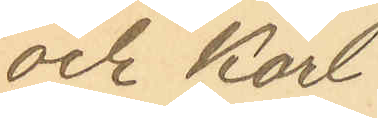och Karl
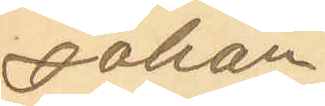Johan
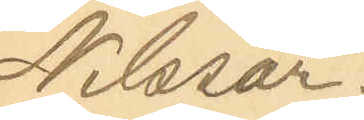Nilsson.
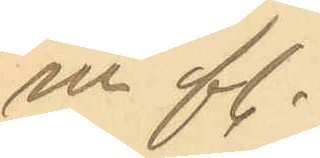m fl.
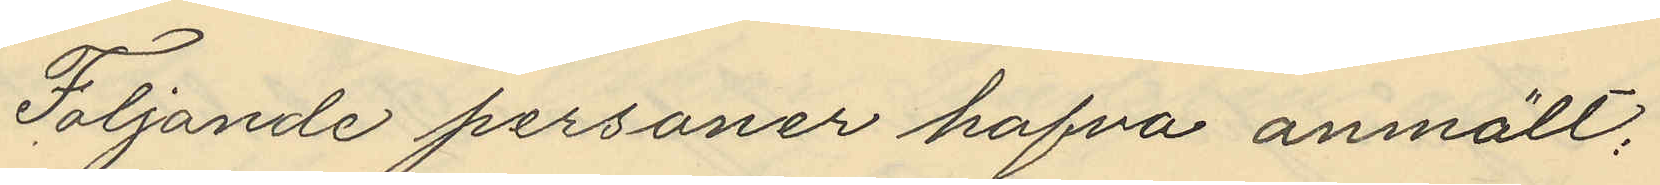Följande personer hafva anmält:
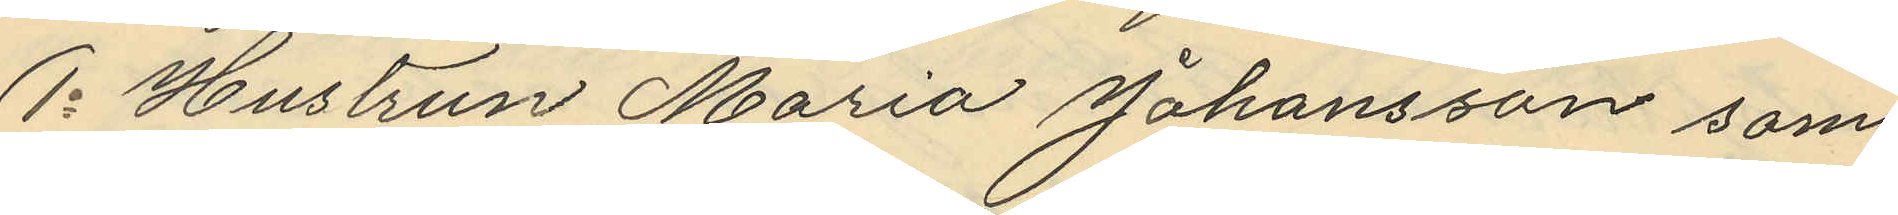1o Hustrun Maria Johansson som
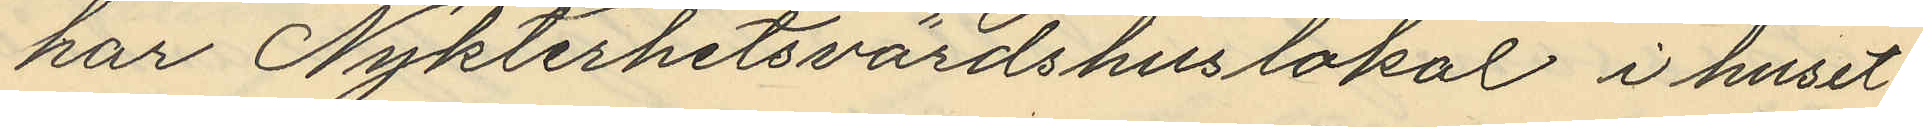har Nykterhetsvärdshuslokal i huset
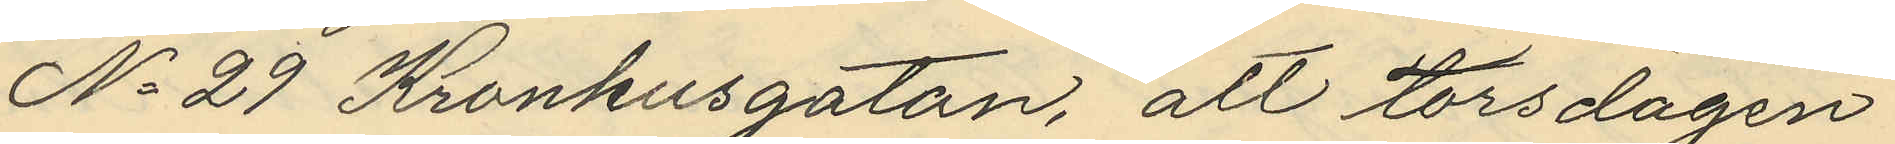No 29 Kronhusgatan, att torsdagen
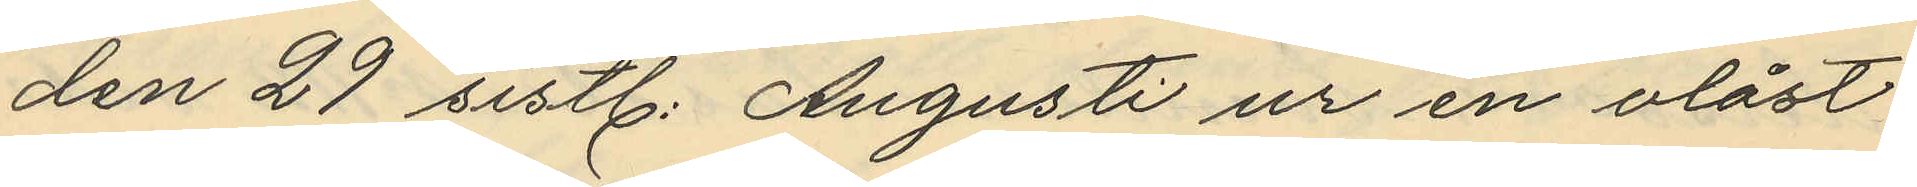den 29 sistl. Augusti ur en olåst
